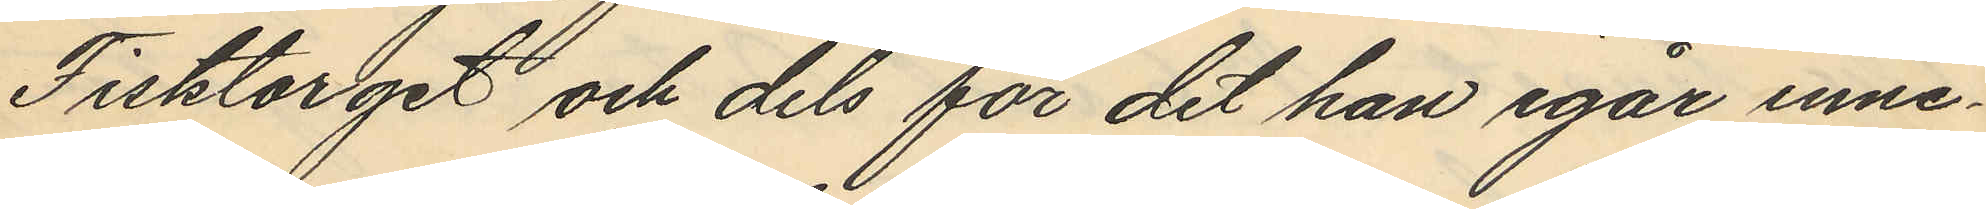Fisktorget och dels för det han igår inne¬
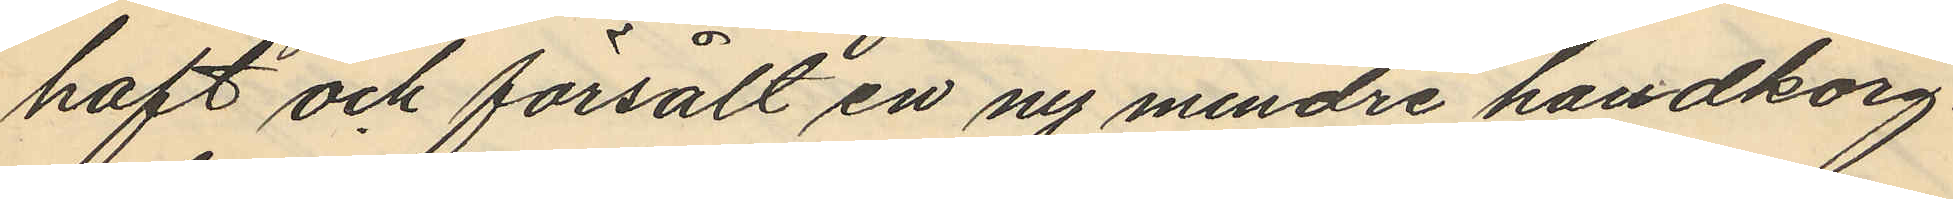haft och försålt en ny mindre handkorg
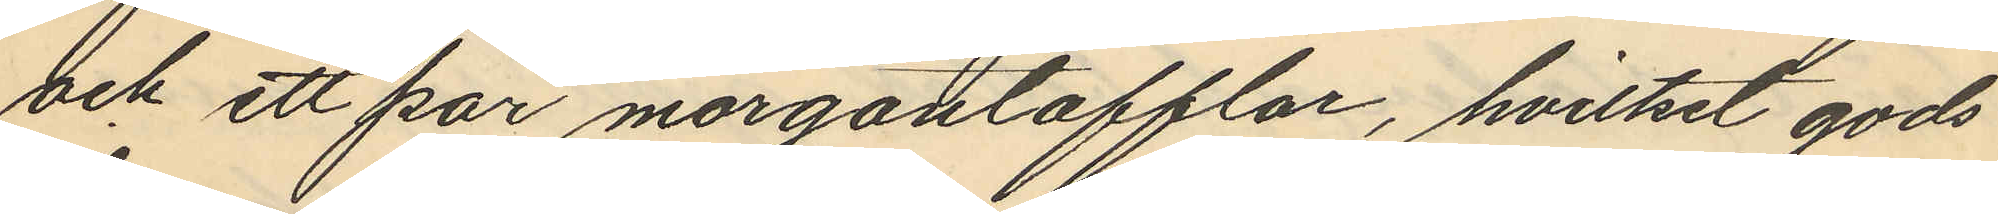och ett par morgontofflar, hvilket gods
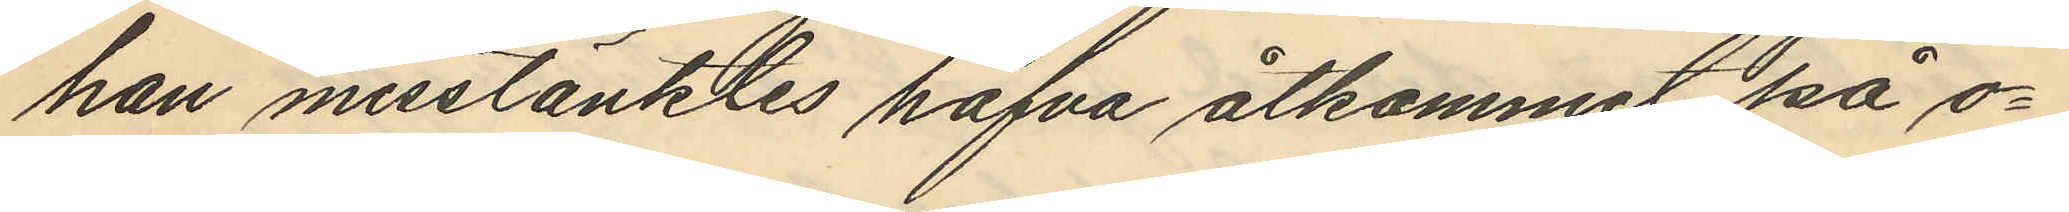han misstänktes hafva åtkommit på o¬
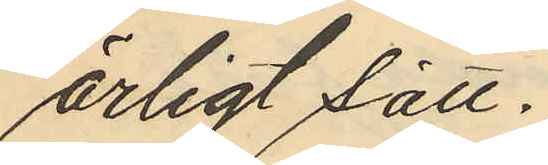ärligt sätt.
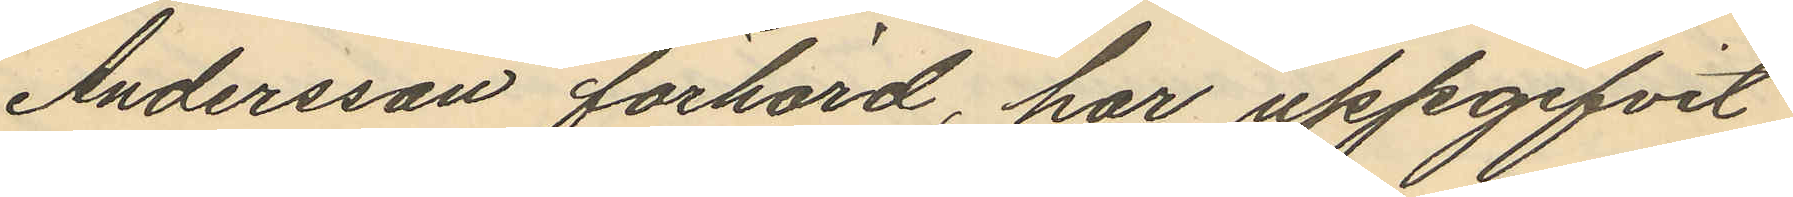Andersson förhörd, har uppgifvit
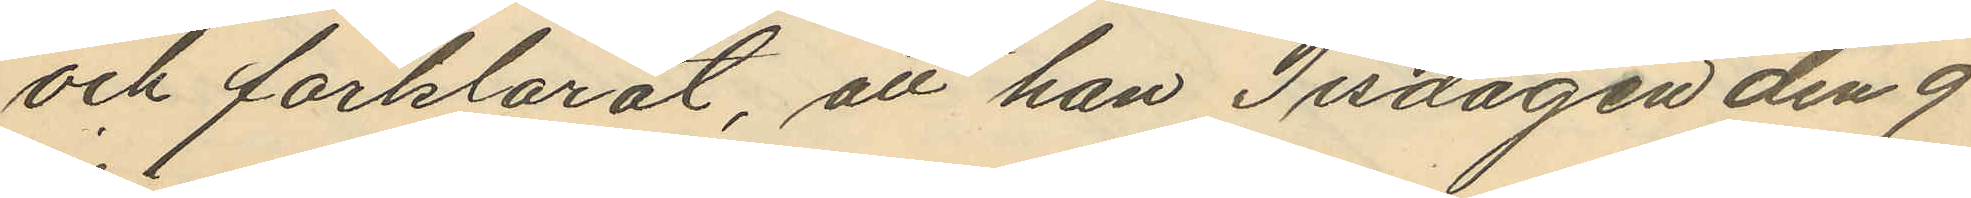och förklarat, att han Tisdagen den 9
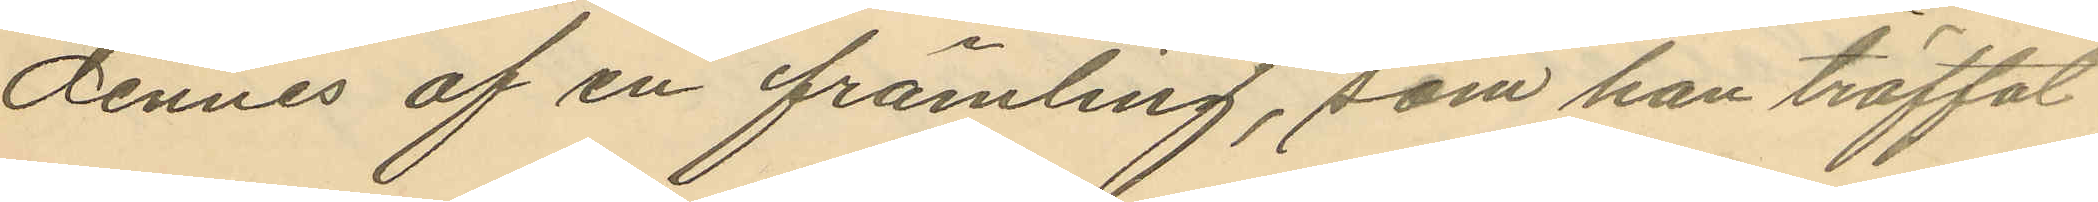dennes af en främling, som han träffat
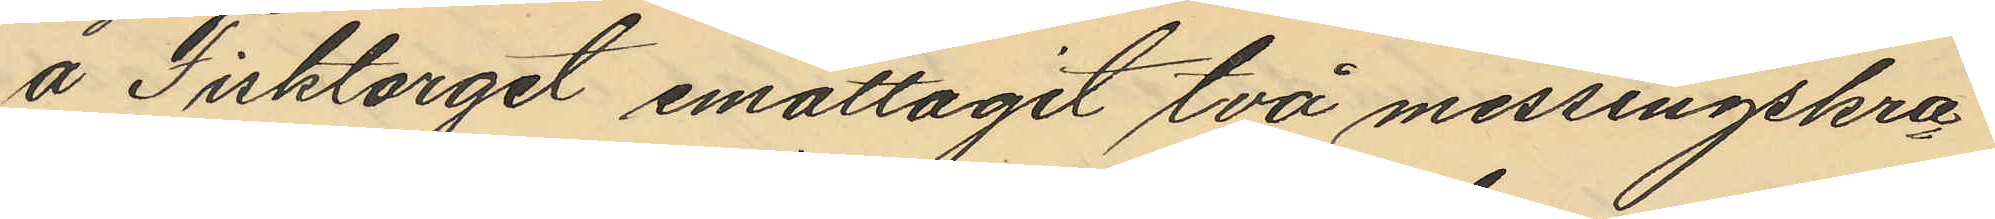å Fisktorget emottagit två messingskra¬
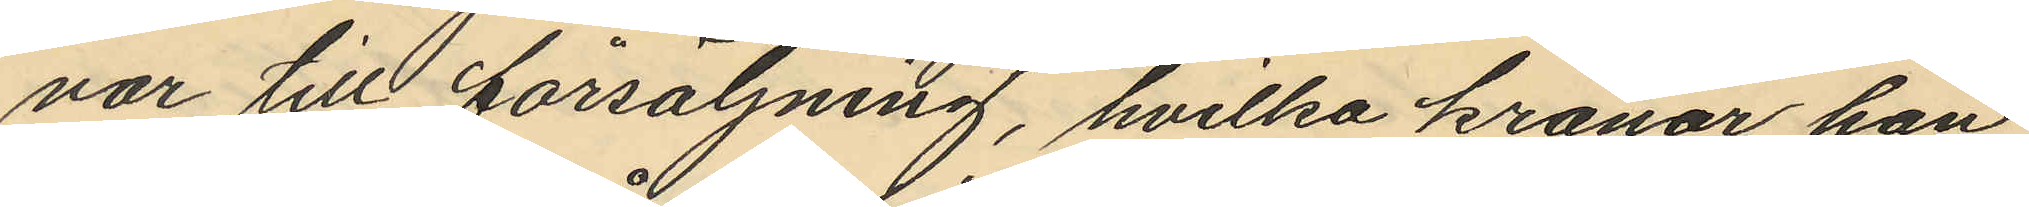nar till försäljning, hvilka kranar han
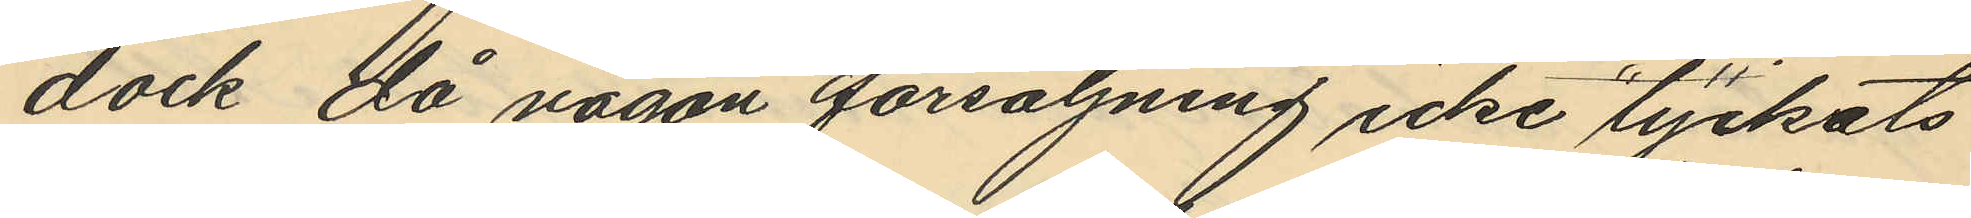dock då någon försäljning icke lyckats
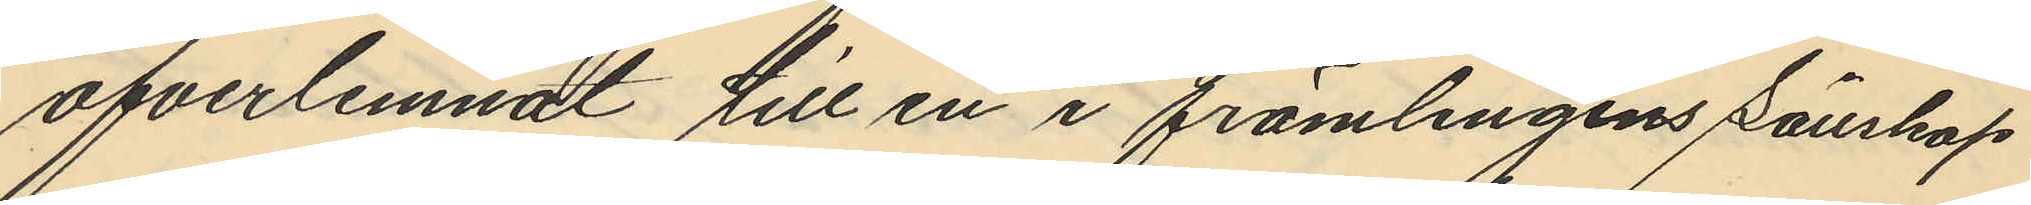öfverlemnat till en i främlingens sällskap
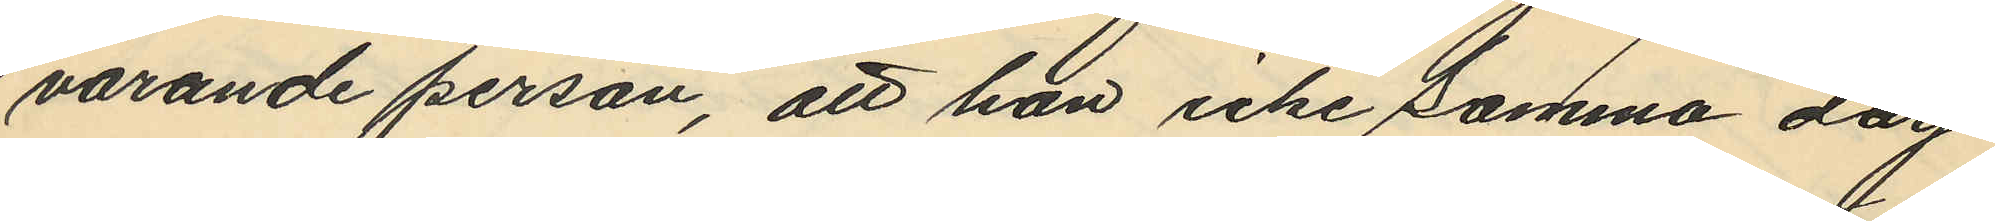varande person, att han icke samma dag
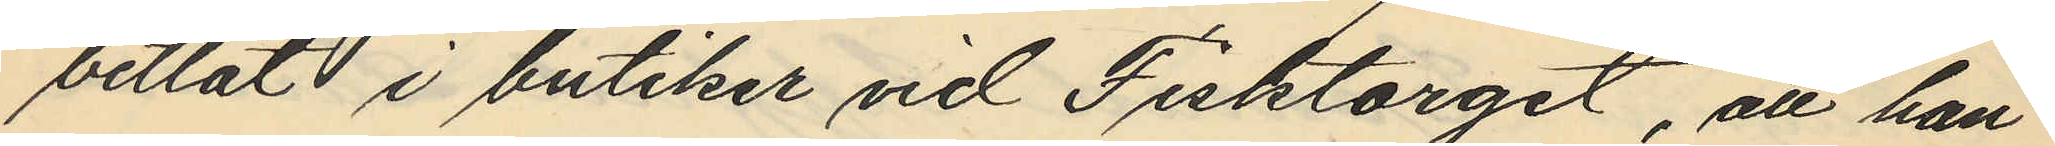betlat i butiker vid Fisktorget, att han
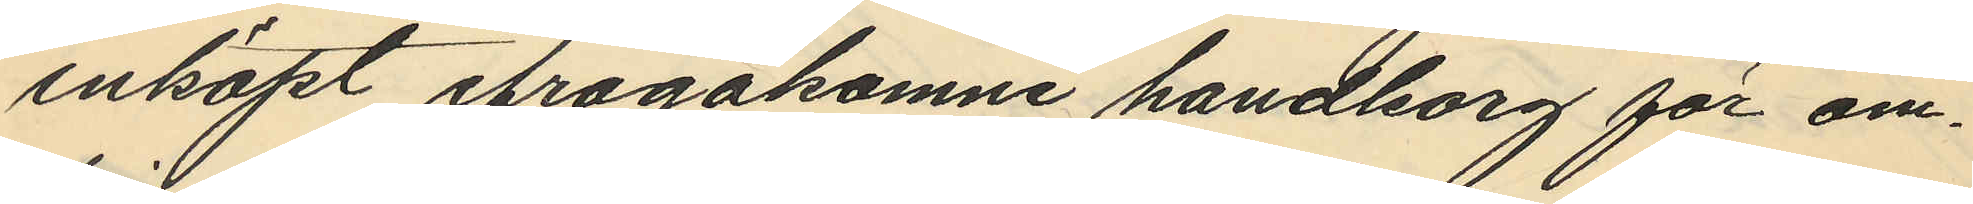inköpt ifrågakomne handkorg för om¬
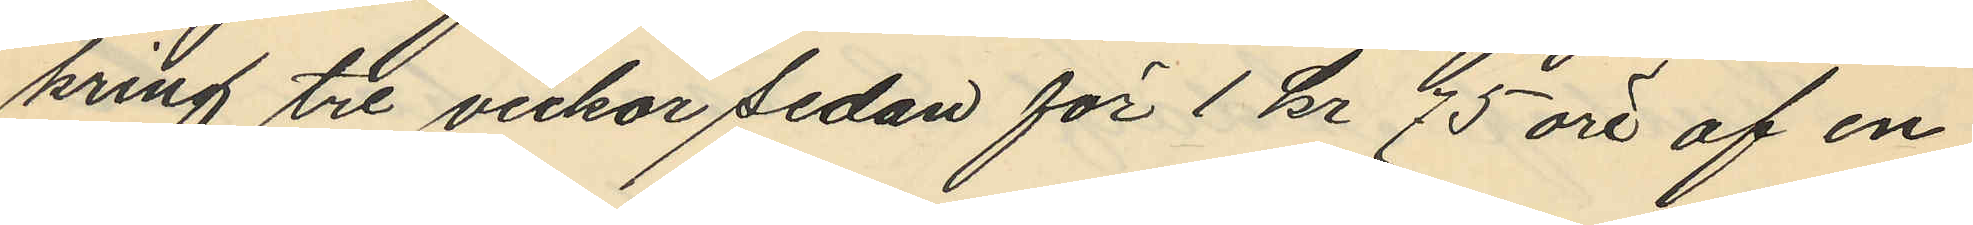kring tre veckor sedan för 1 kr 75 öre af en
